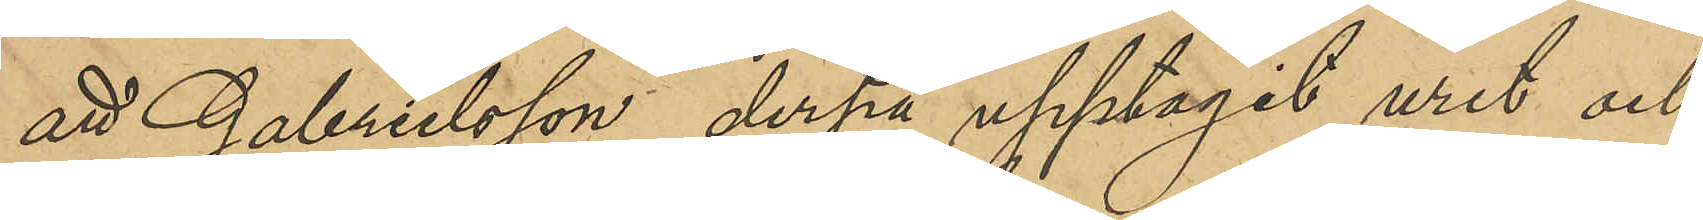att Gabrielsson derpå upptagit uret och
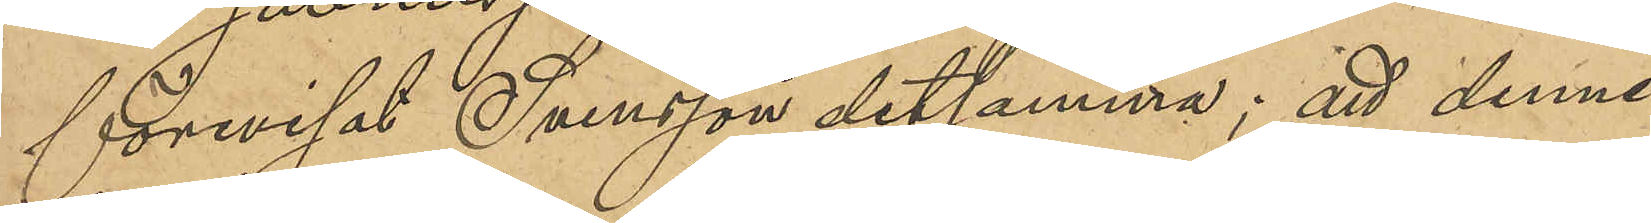förevisat Svensson detsamma; att denne
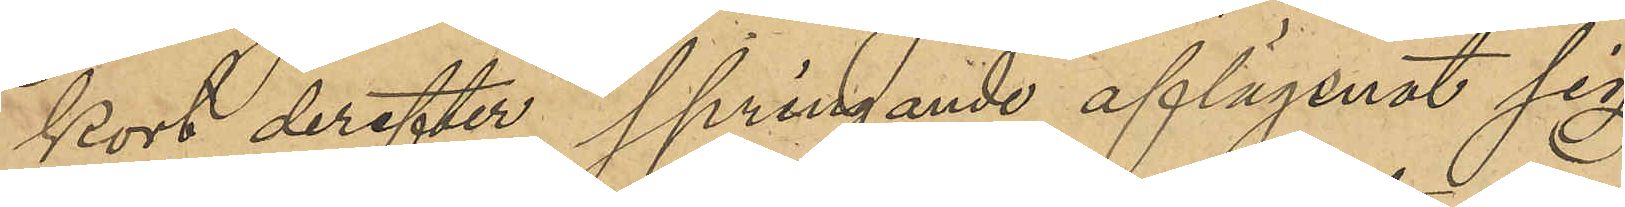kort derefter springande aflägsnat sig,
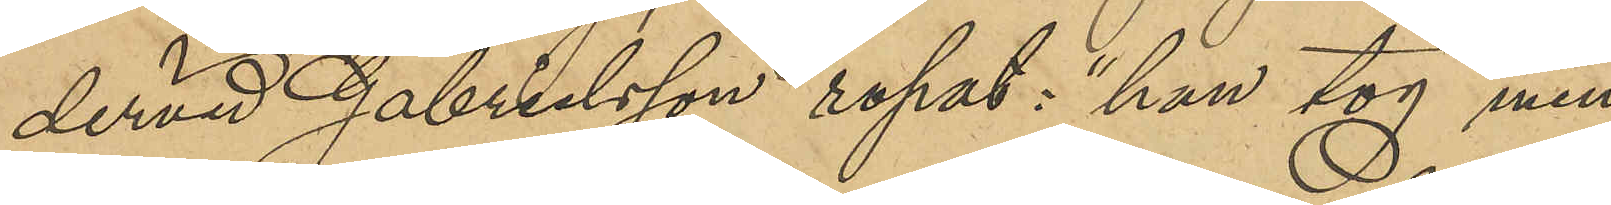dervid Gabrielsson ropat: "han tog min
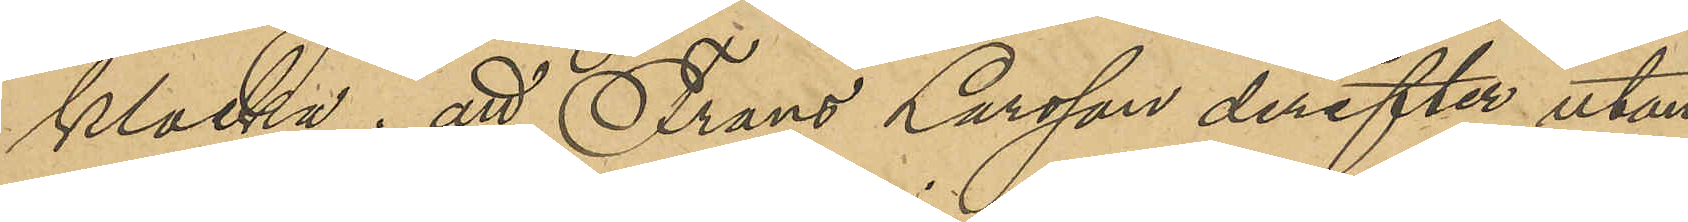klocka; att Frans Larsson derefter utan
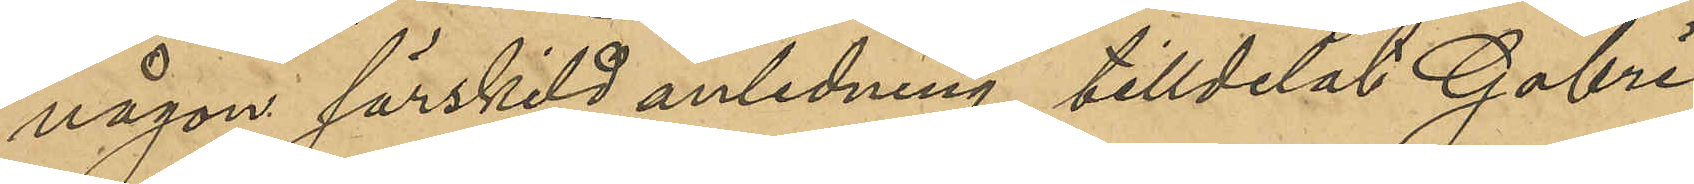någon särskild anledning, tilldelat Gabri¬
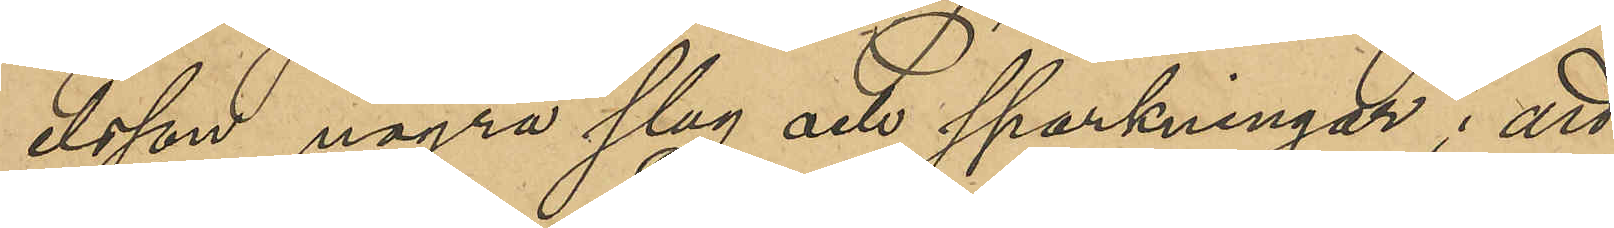elsson några slag och sparkningar; att
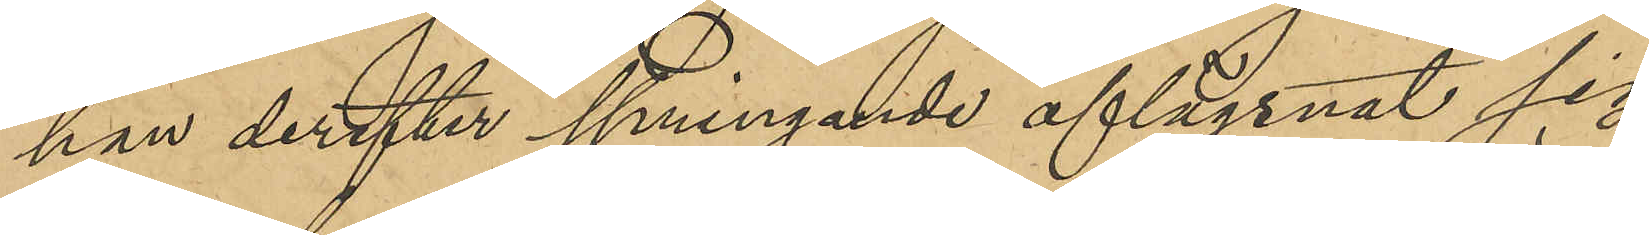han derefter springande aflägsnat sig
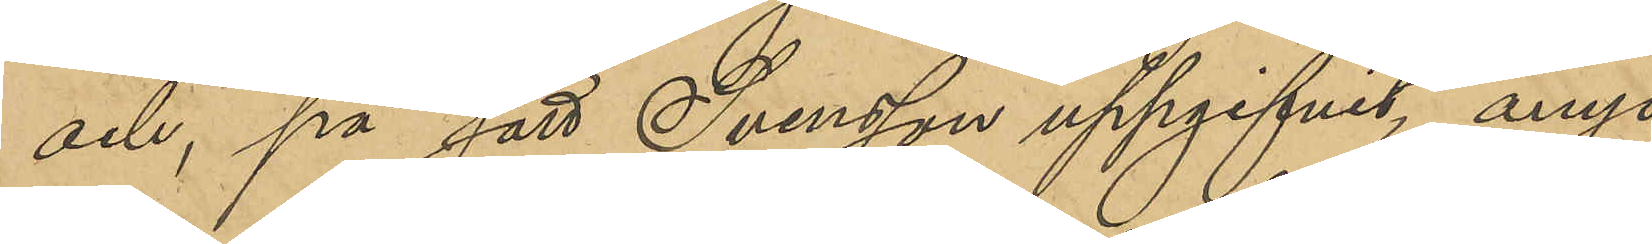och, på sätt Svensson uppgifvit, ånyo
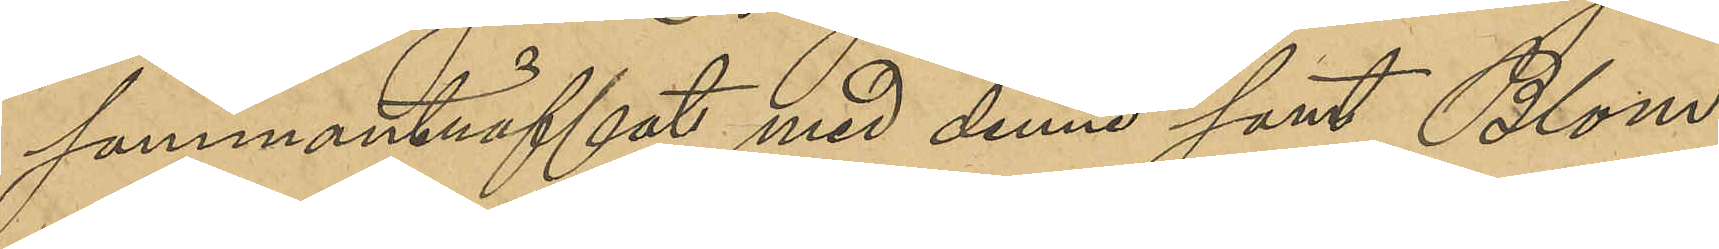sammanträffat med denne samt Blom
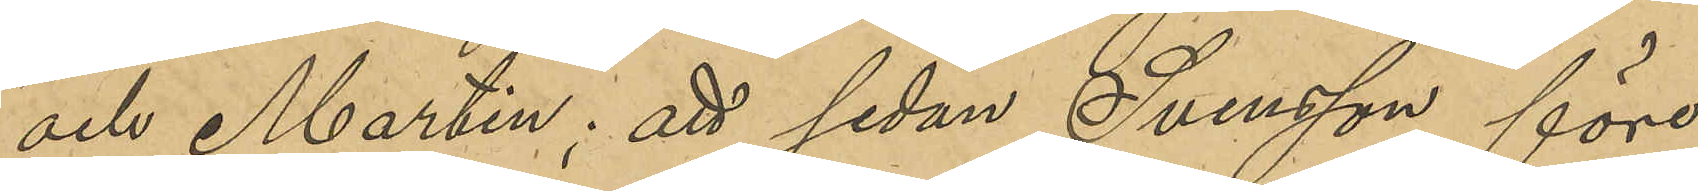och Martin; att sedan Svensson före¬
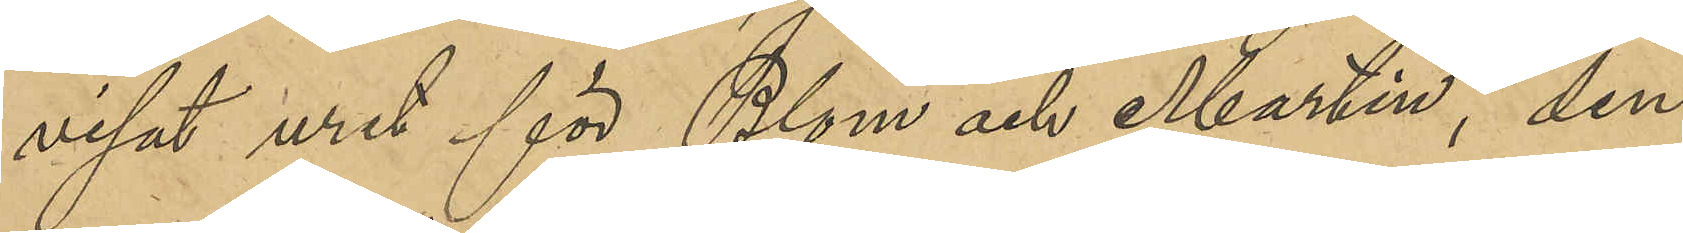visat uret för Blom och Martin, den
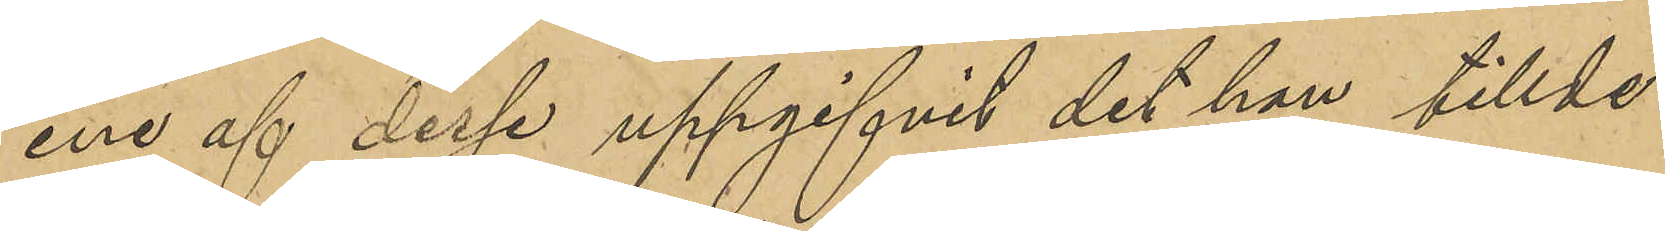ene af desse uppgifvit det han tillde¬
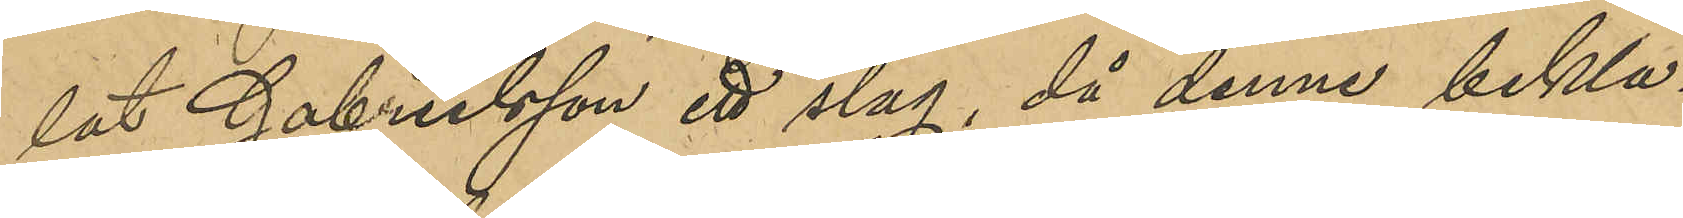lat Gabrielsson ett slag, då denne bekl¬
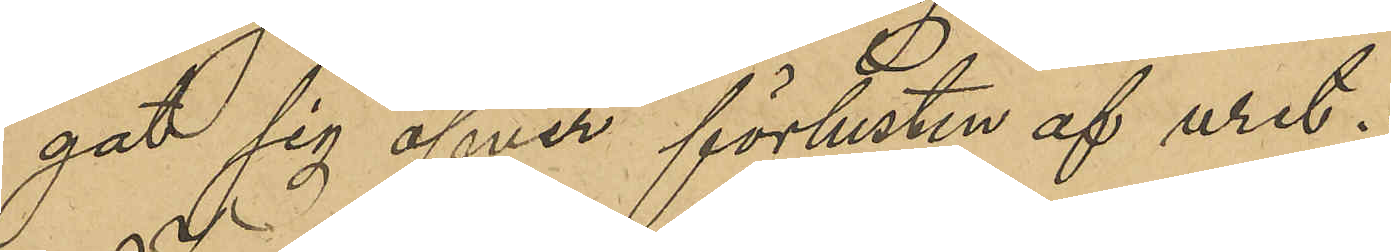gat sig öfver förlusten af uret.
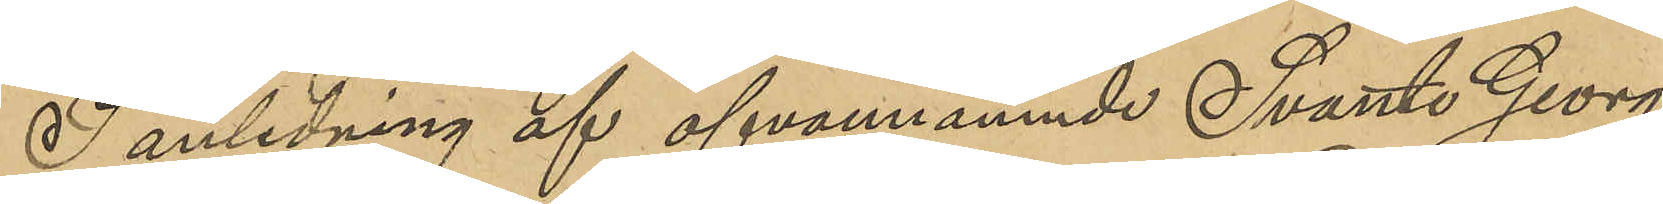I anledning af ofvannämnde Svante Georg
